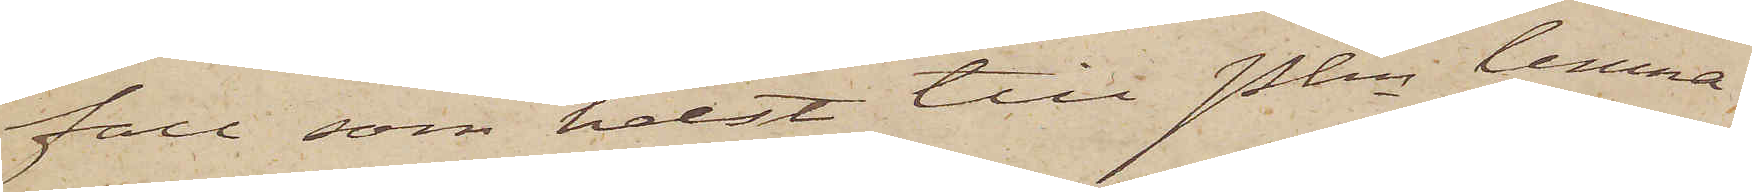fall som helst till Pkn lemna
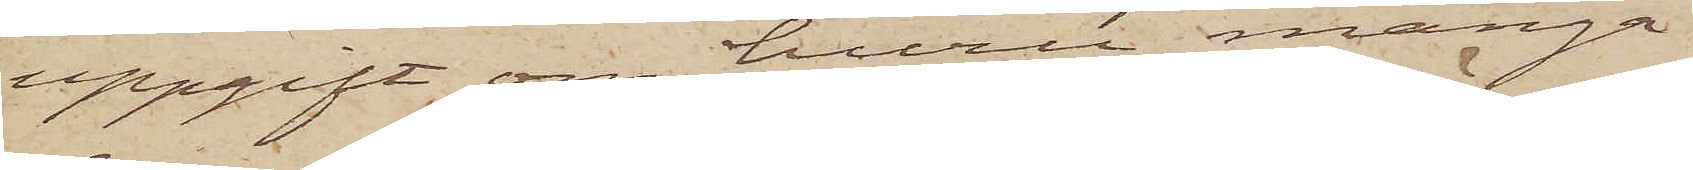uppgift om huru många
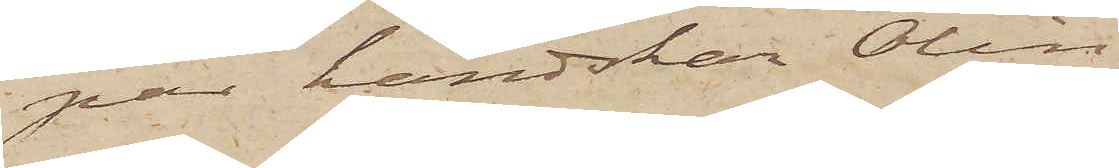par handskar Ölin
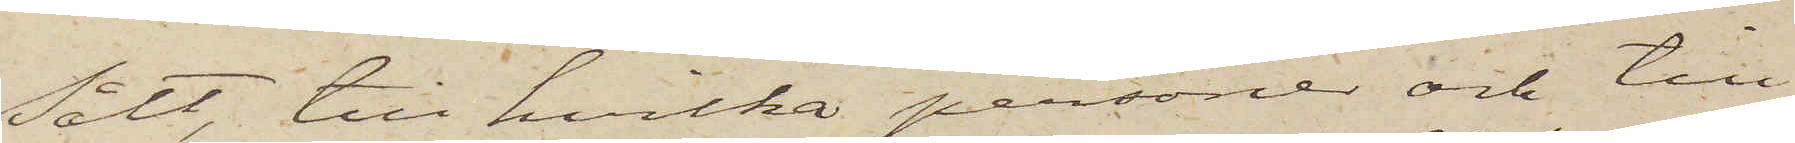sålt, till hvilka personer och till
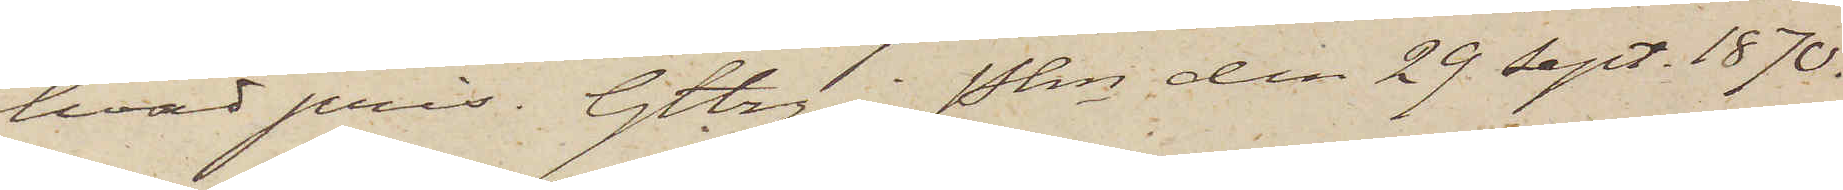hvad pris. Gtbrg i Pkn den 29 Sept. 1870.
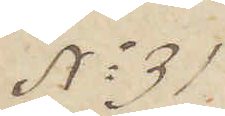No 31
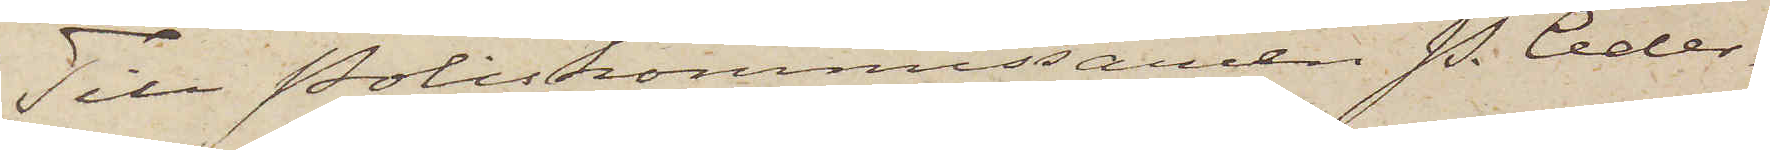Till Poliskommissaren P. Ceder¬
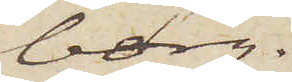borg.
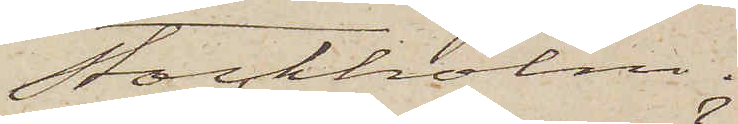Stockholm.
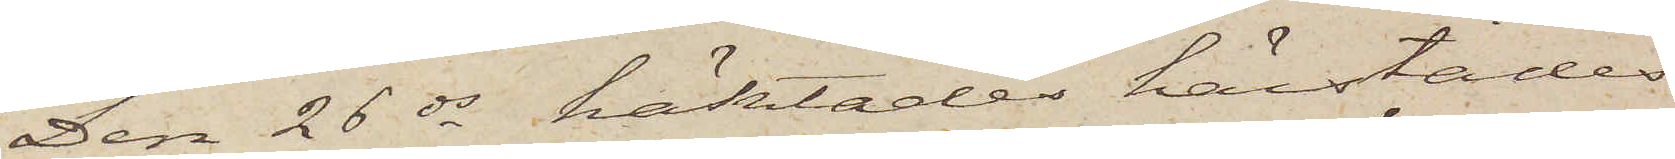Den 26 ds häktades härstädes
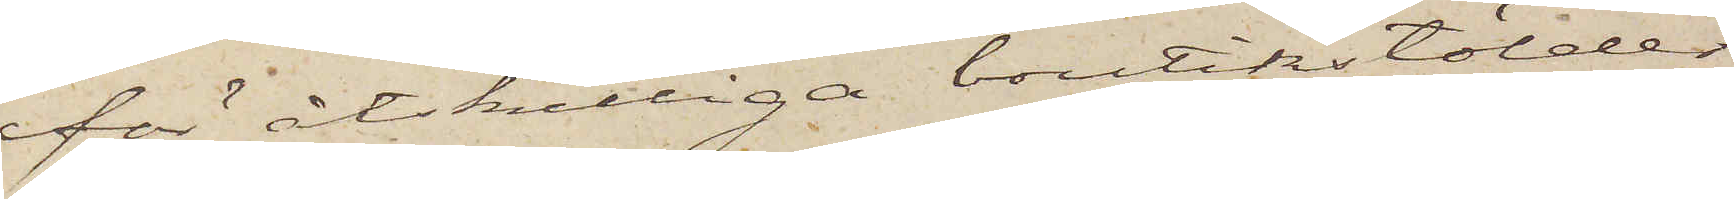för åtskilliga butikstölder
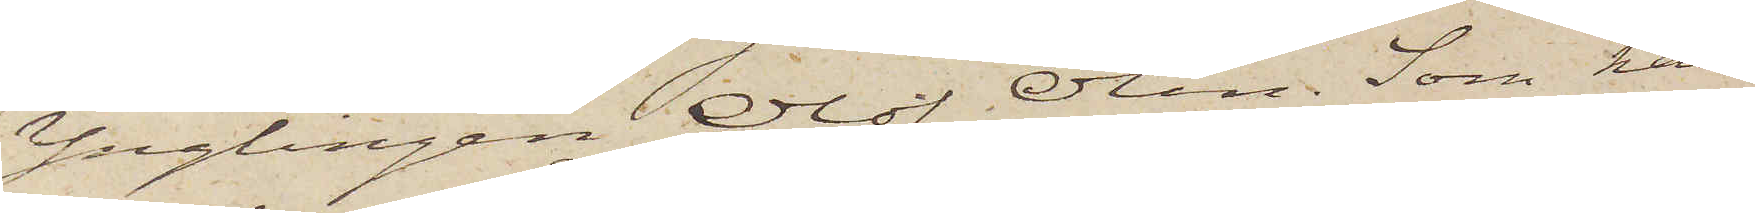Ynglingen Olof Ölin. Som han
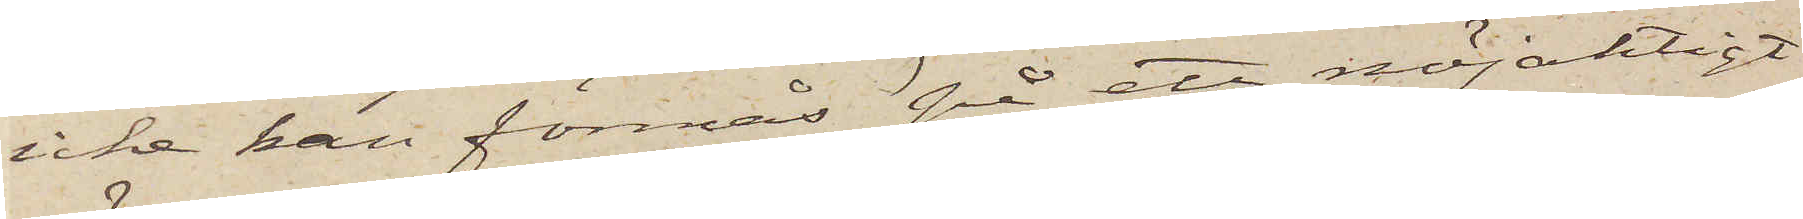icke kan förmås på ett nöjaktigt
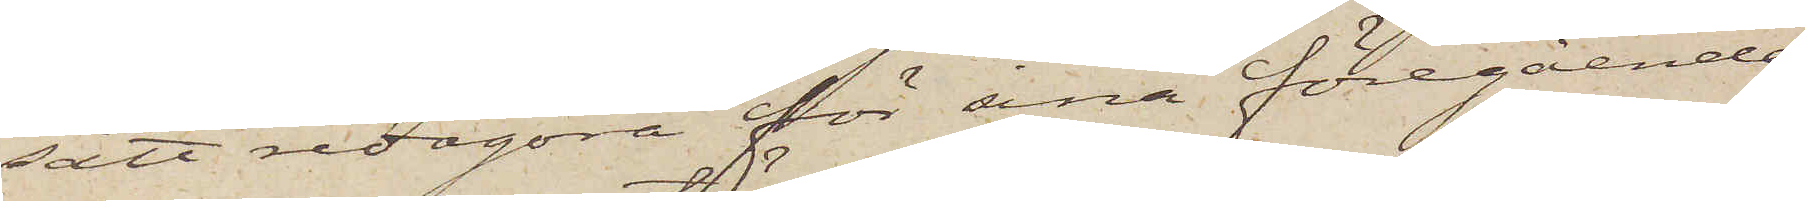sätt redogöra för sina föregående
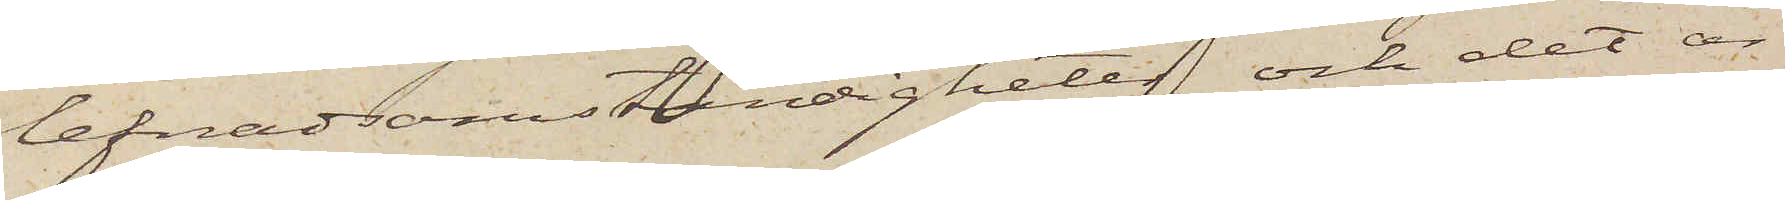lefnadsomständigheter och det är
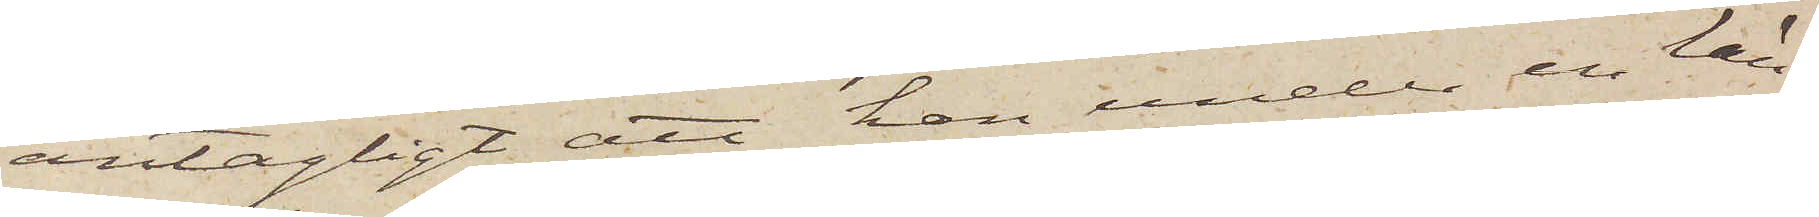antagligt att han under en län¬
